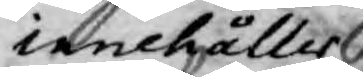innehåller.
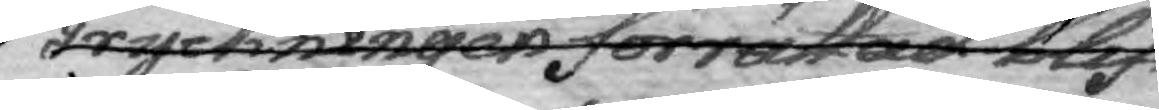Tryckningen förrättad blif¬
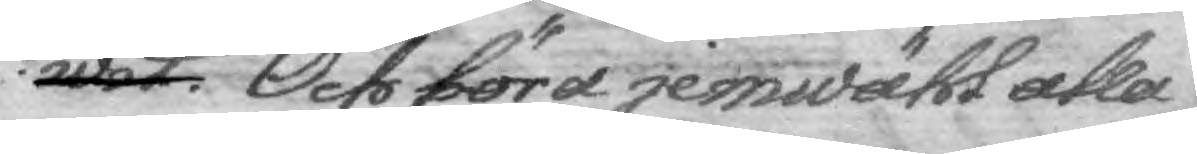wit. Och böra jemwähl alla
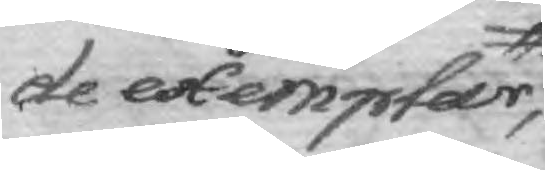de exempter,
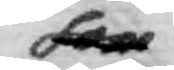som
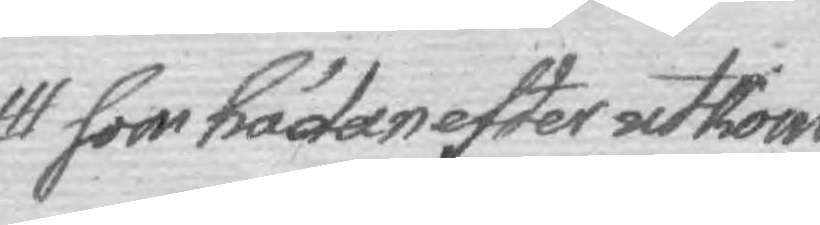som hädanefter utkom¬
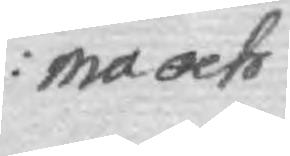ma och
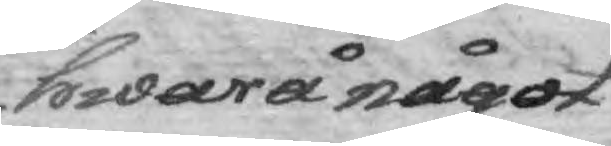hwarå något
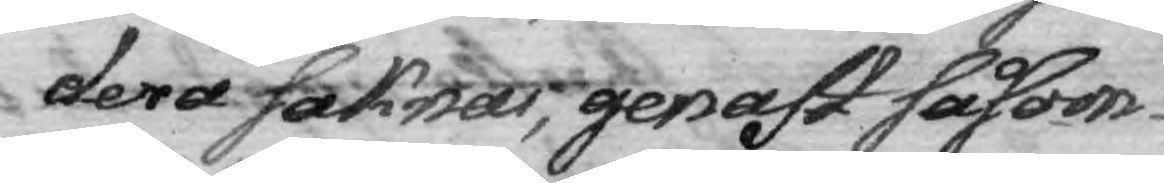dera saknas, genast såsom
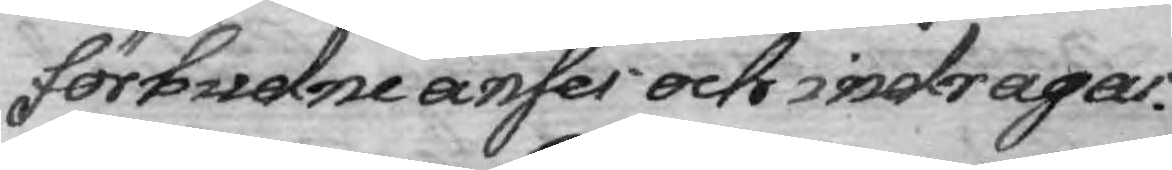förbudne anses och indragas.
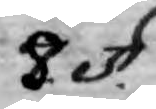8. §. 
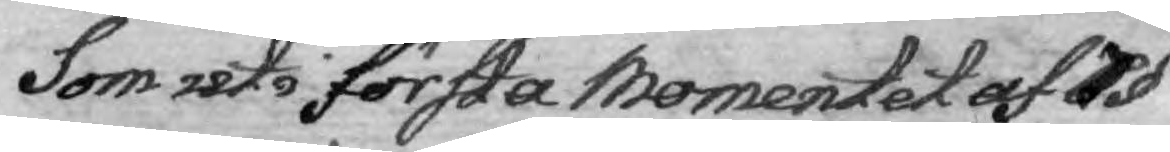Som uti första momentet 7§
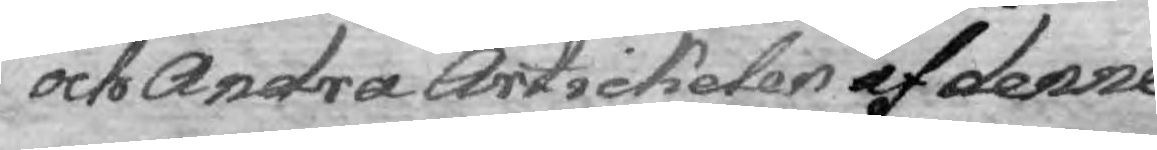och Andra Artickelen af denne
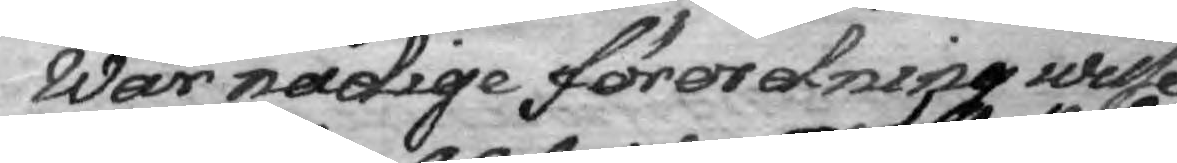Wår nådige förordning wille
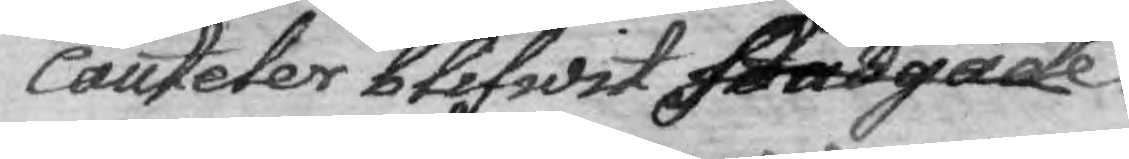cauteler blifwit stadgade
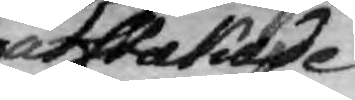utstakade
